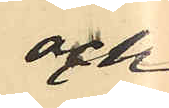och
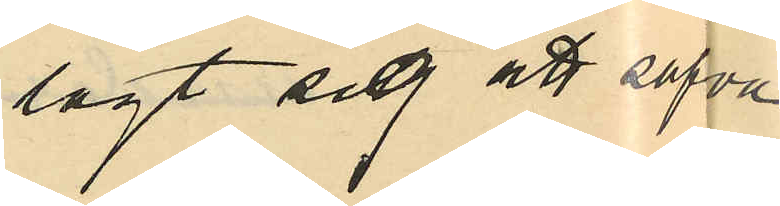lagt sig att sofva
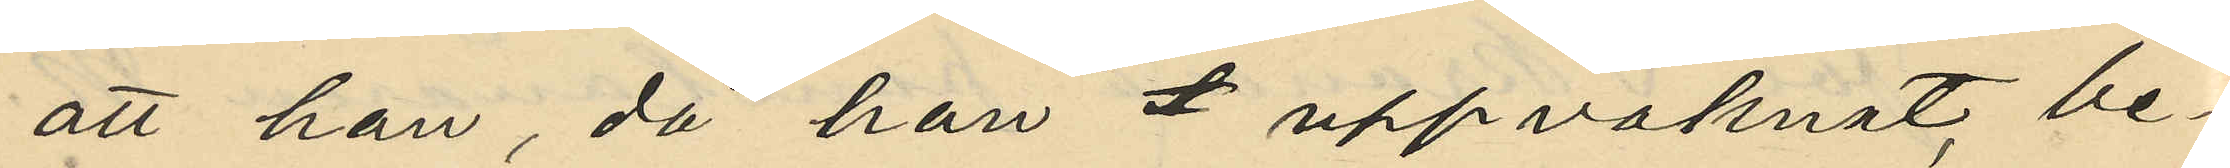att han, då han uppvaknat be¬
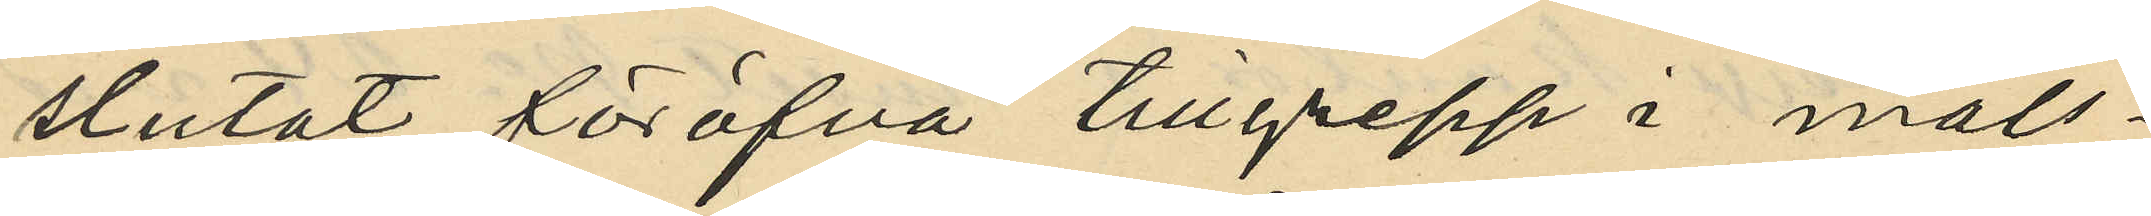slutat föröfva tillgrepp i måls¬
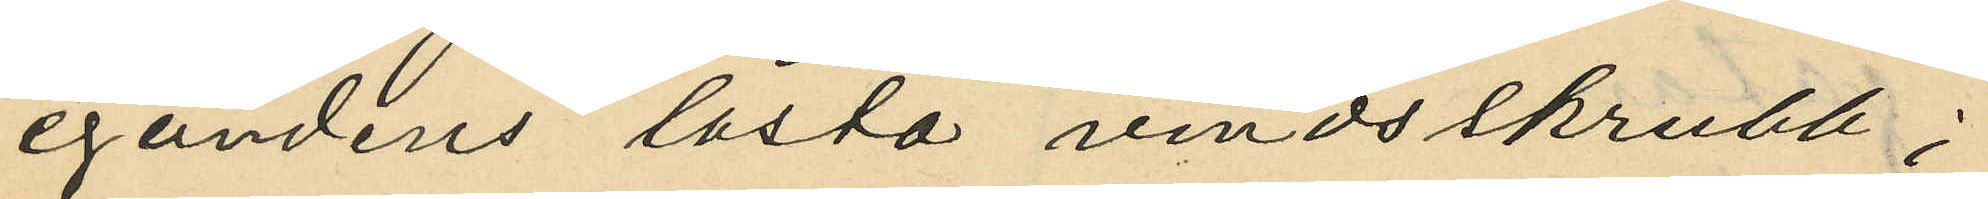egandens låsta vindsskrubb;
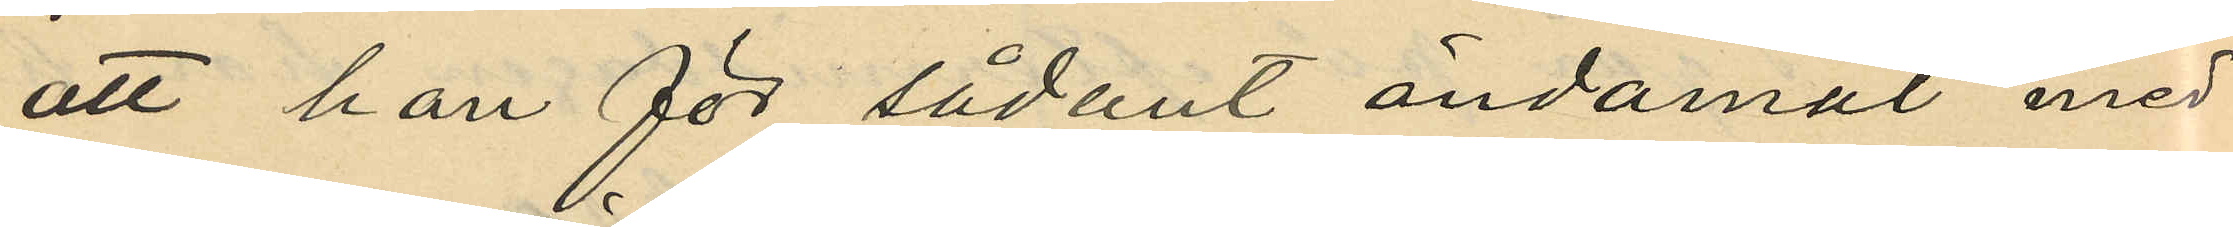att han för sådant ändamål med
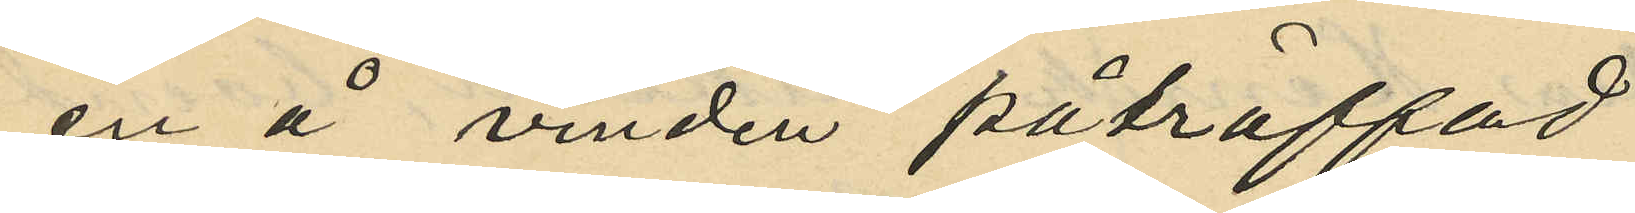en å vinden påträffad
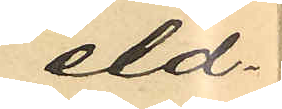eld¬
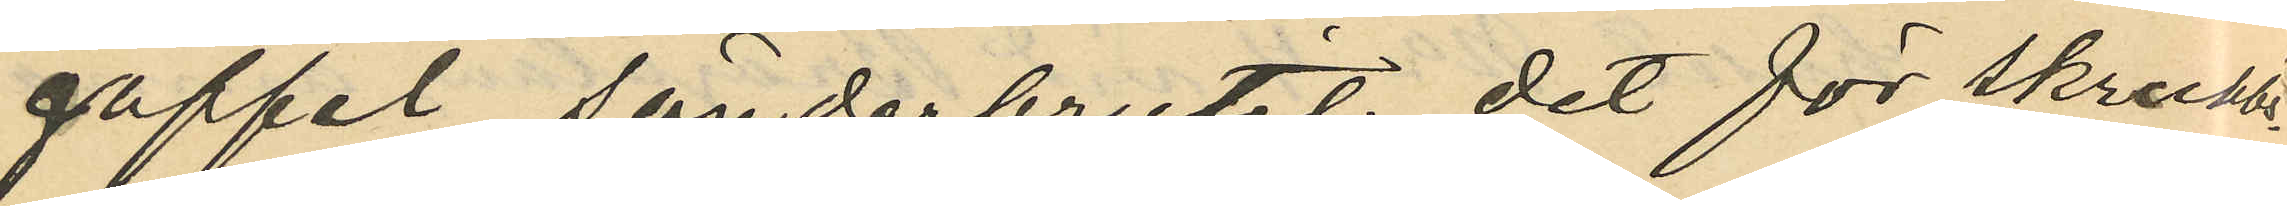gaffel sönderbrutit det för skrubb¬
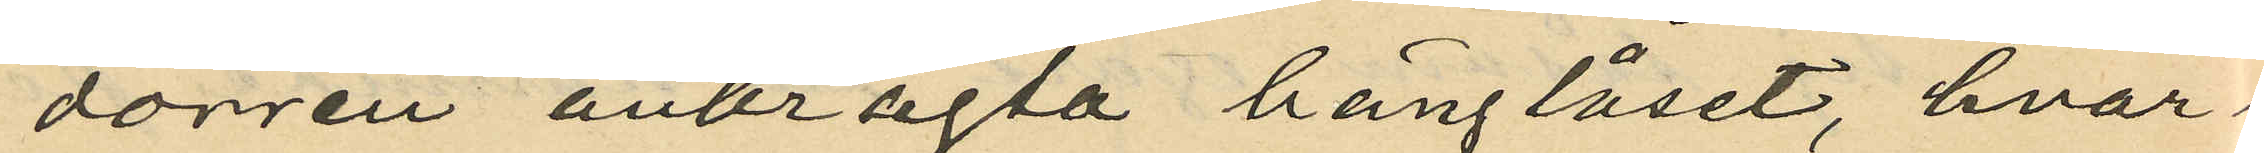dörren anbragta hänglåset, hvar¬
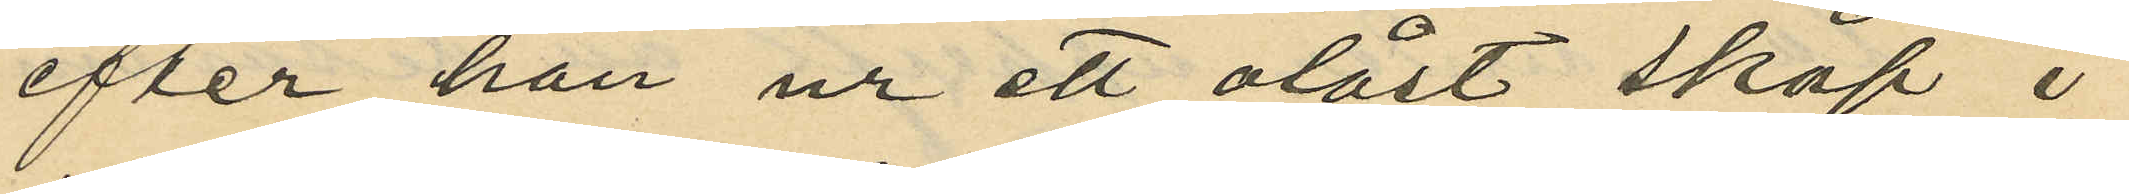efter han ur ett olåst skåp i
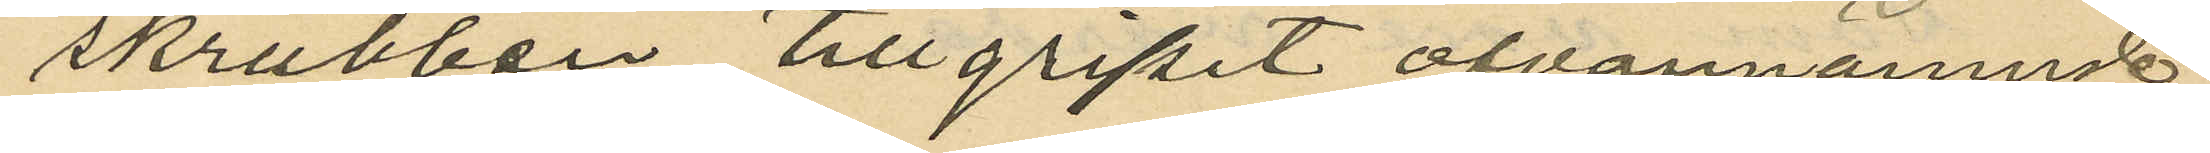skrubben tillgripit ofvannämnde
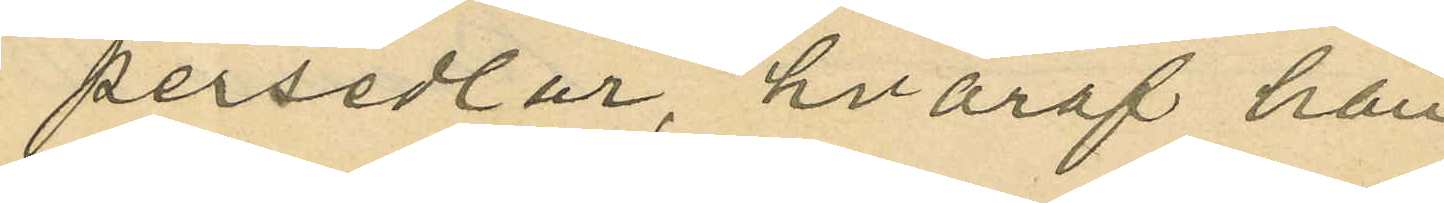persedlar, hvaraf han
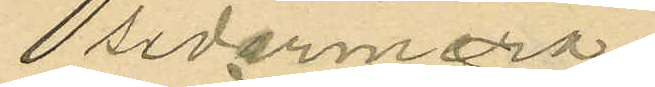sedemera
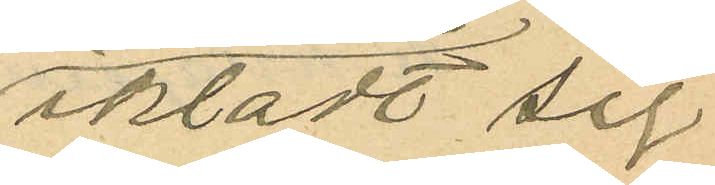iklädt sig
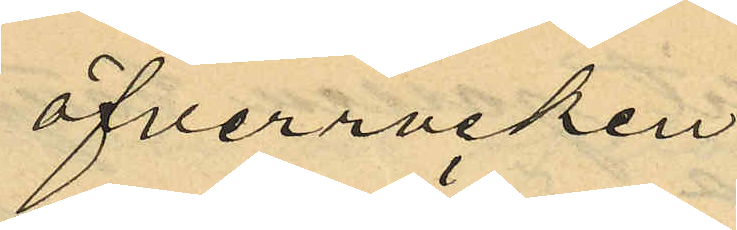öfverrocken
